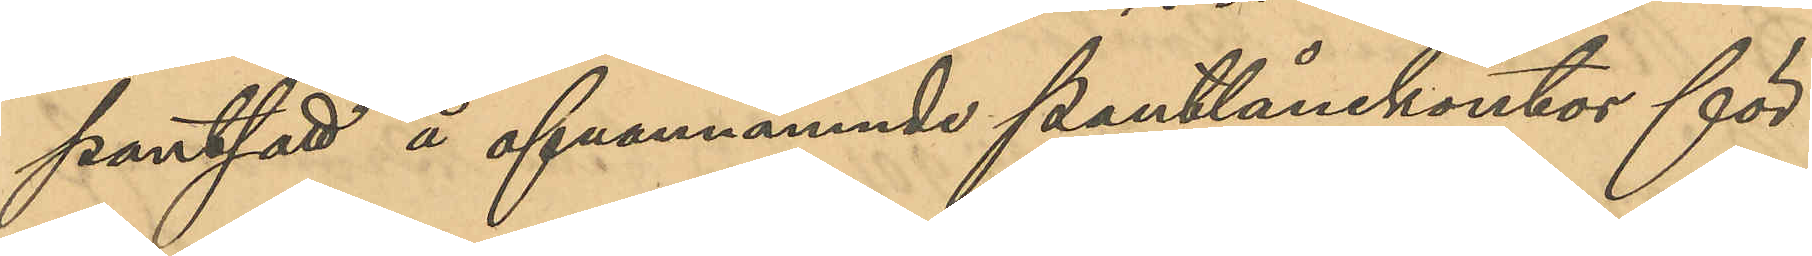pantsatt å ofvannämnde pantlånekontor för
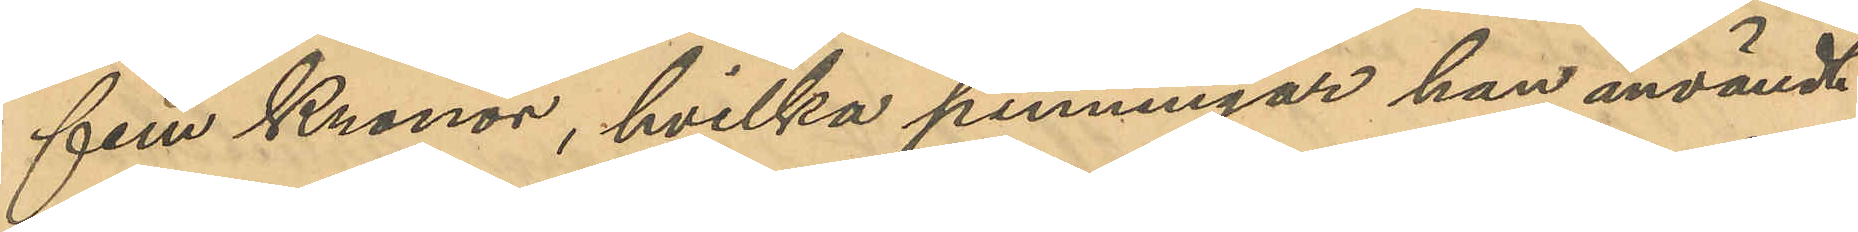fem Kronor, hvilka penningar han användt
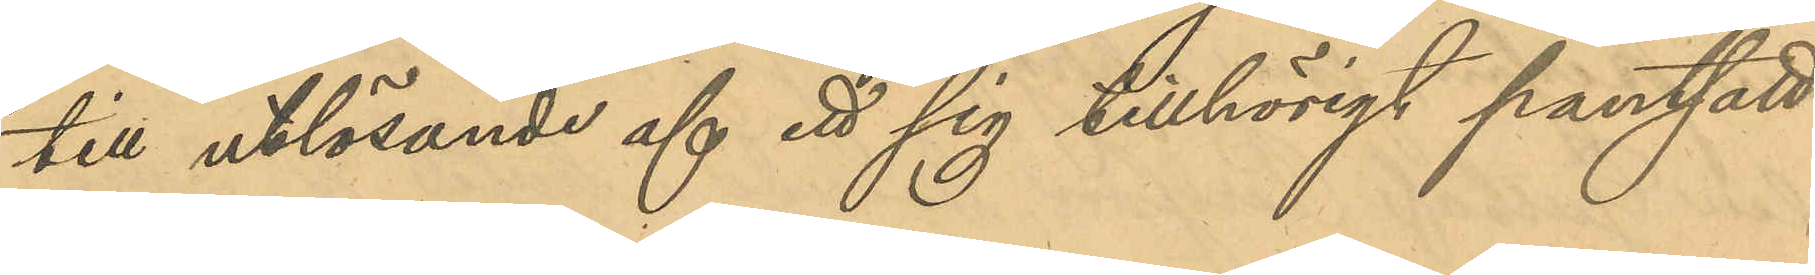till utlösande af ett sig tillhörigt pantsatt
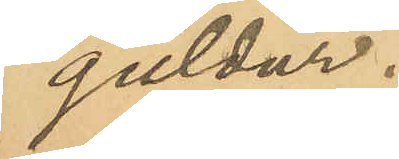guldur.
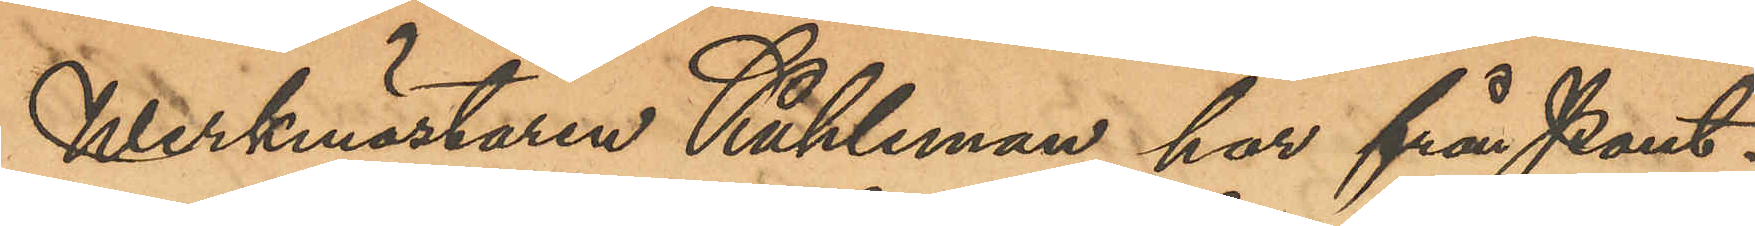Werkmästaren Kuhleman har från Pant¬
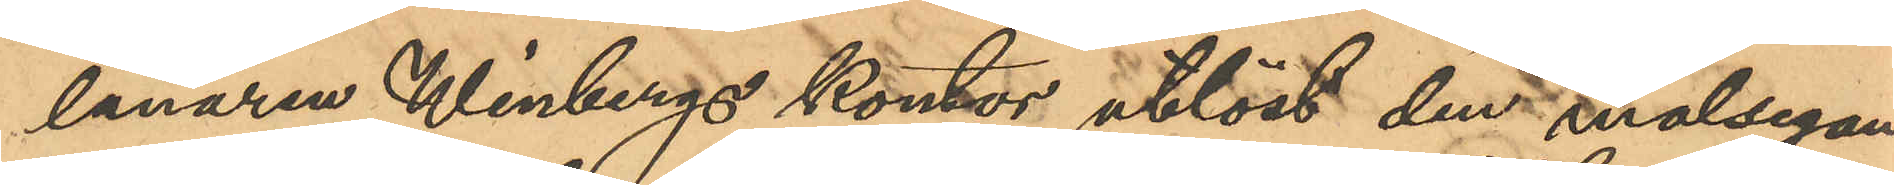lånaren Winbergs kontor utlöst den målsegan¬
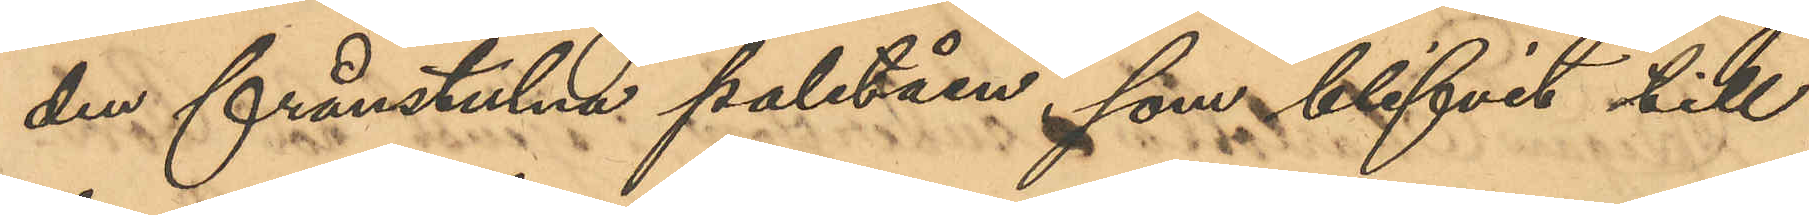den frånstulne paletån, som blifvit till
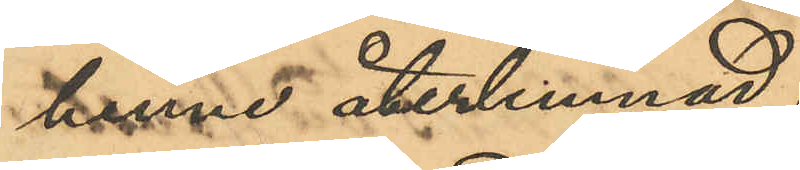henne återlemnad.
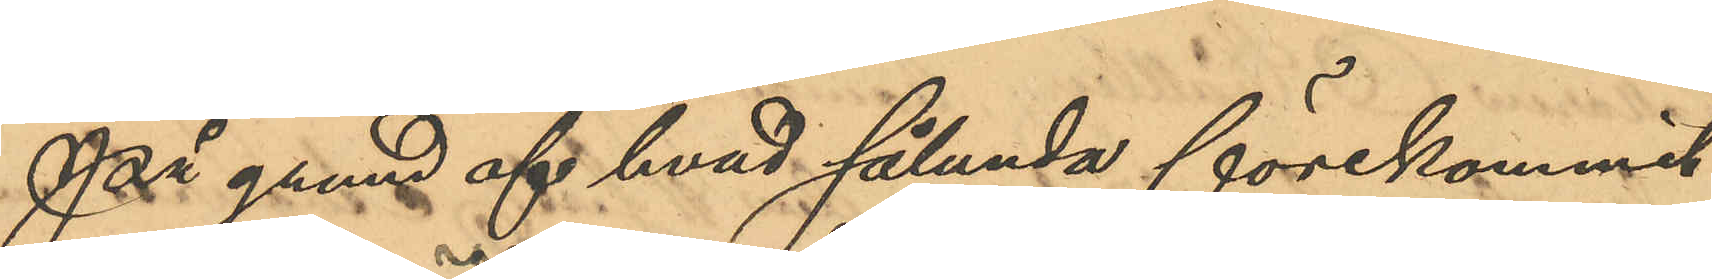På grund af hvad sålunda förekommit
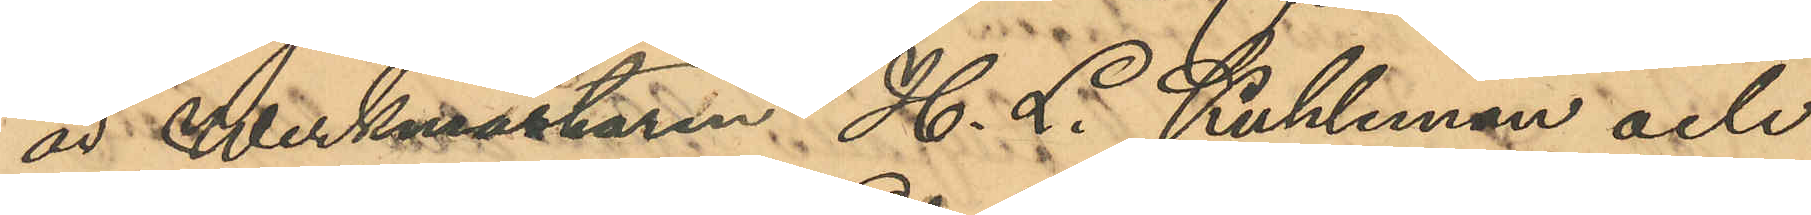är Werkmästaren H. L. Kuhleman och
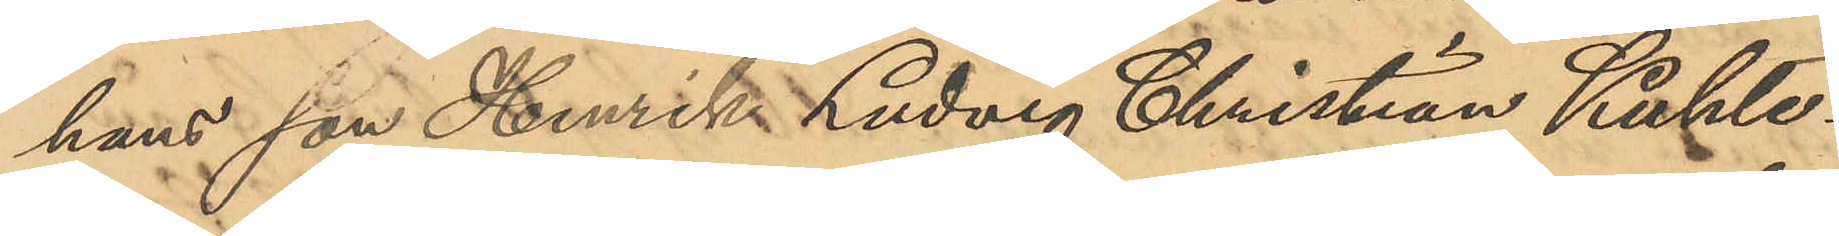hans son Henrik Ludvig Christian Kuhle¬
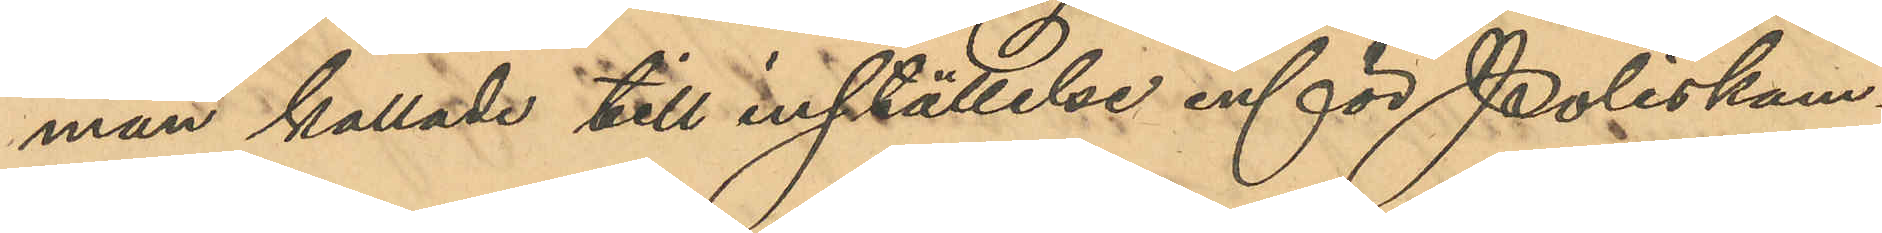man kallade till inställelse inför Poliskam¬
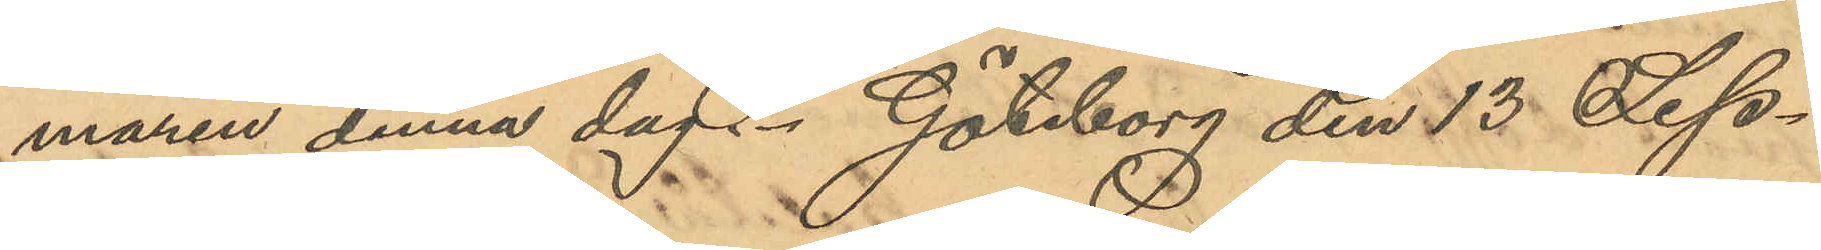maren denna dag. Göteborg den 13 Sep¬
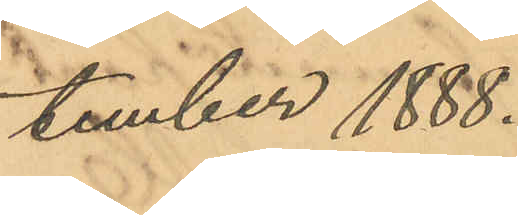tember 1888.
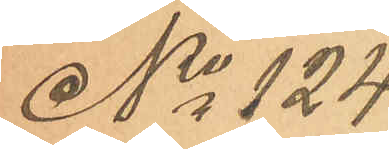No 124.
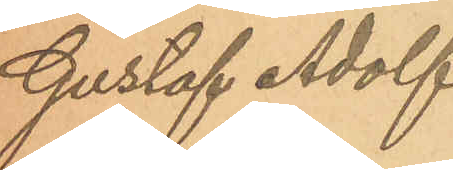Gustaf Adolf
